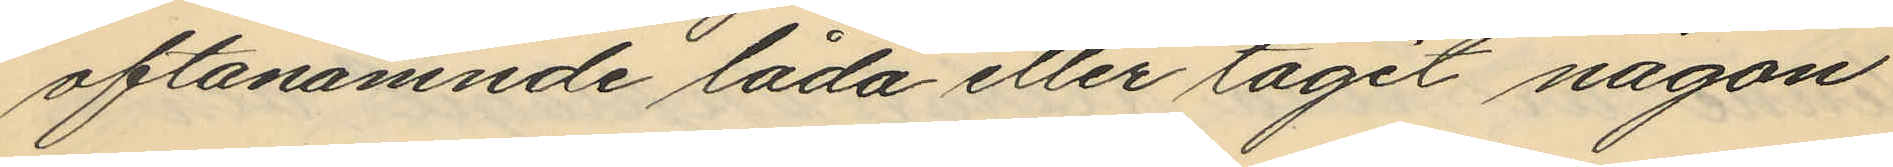oftanämnde låda eller tagit någon
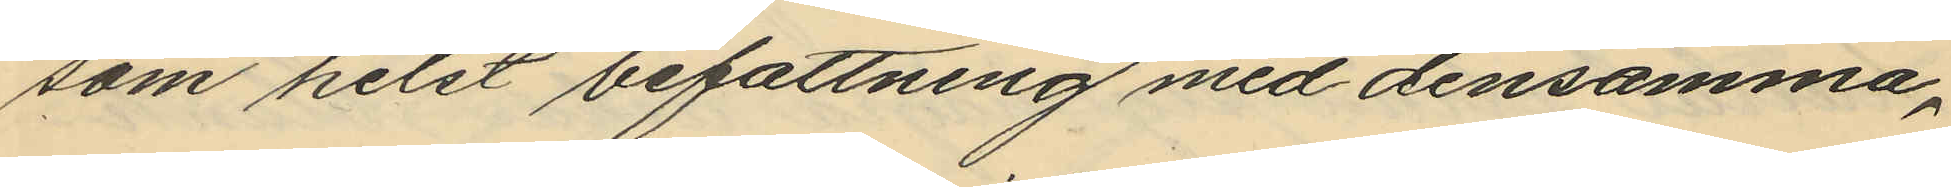som helst befattning med densamma,
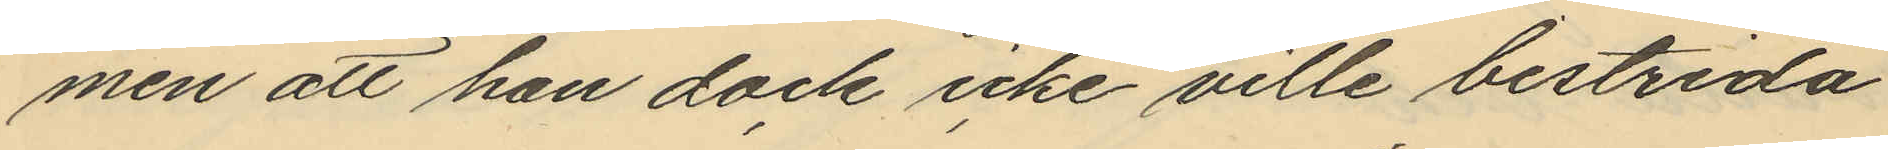men att han dock icke ville bestrida
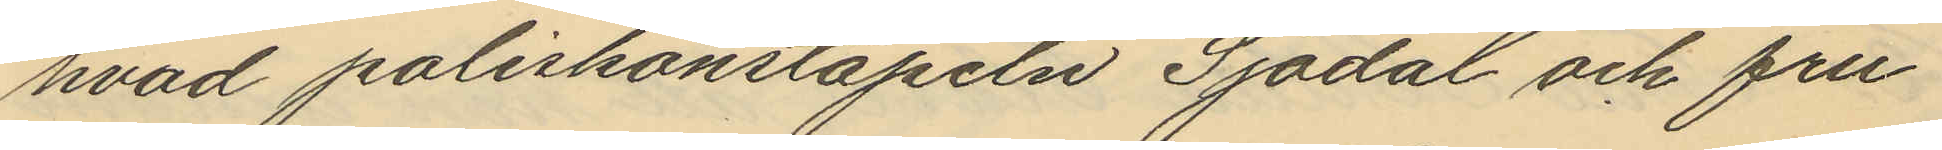hvad poliskonstapeln Sjödal och fru¬
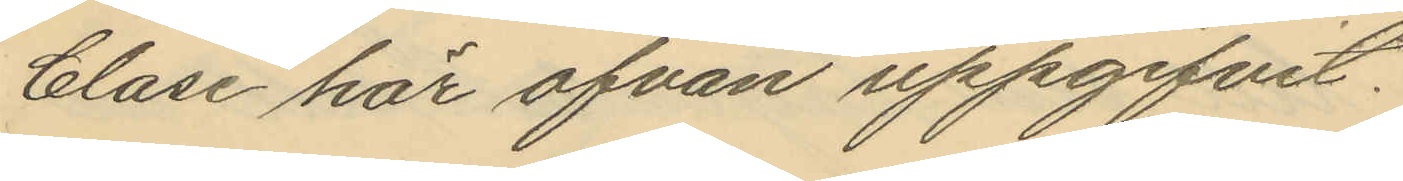Clase här ofvan uppgifvit.
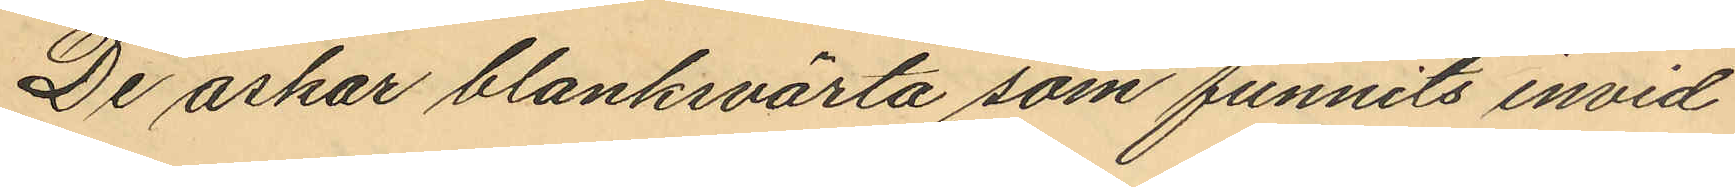De askar blanksvärta som funnits invid
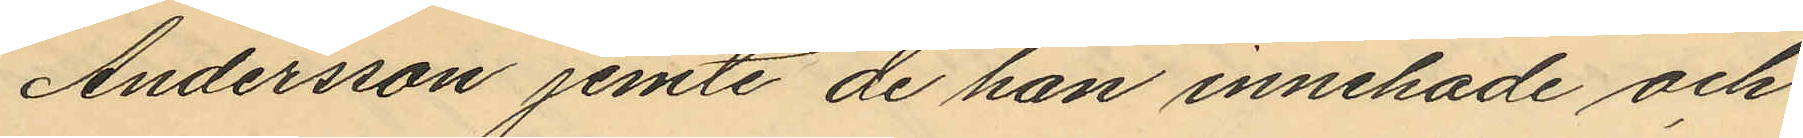Andersson jemte de han innehade och
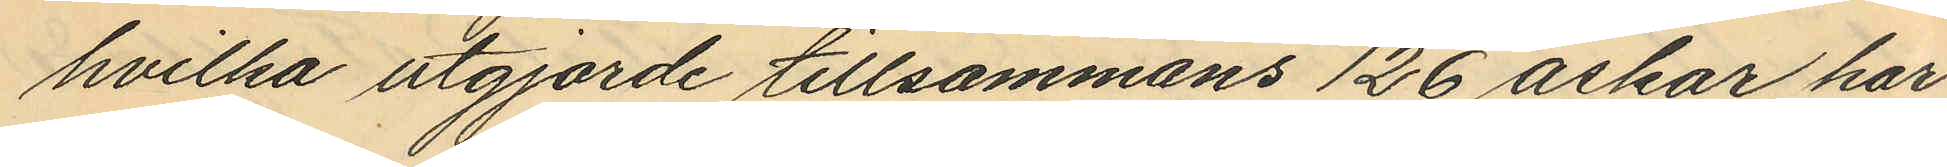hvilka utgjorde tillsammans 126 askar har
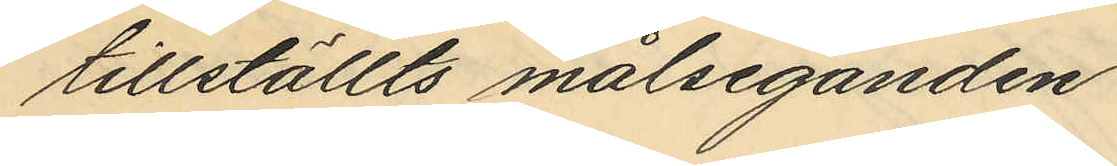tillställts målseganden.
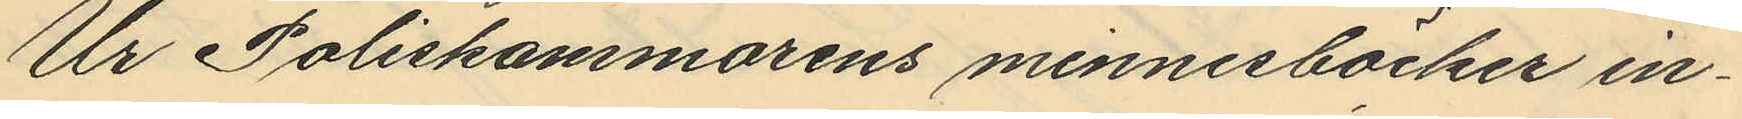Ur Poliskammarens minnesböcker in¬
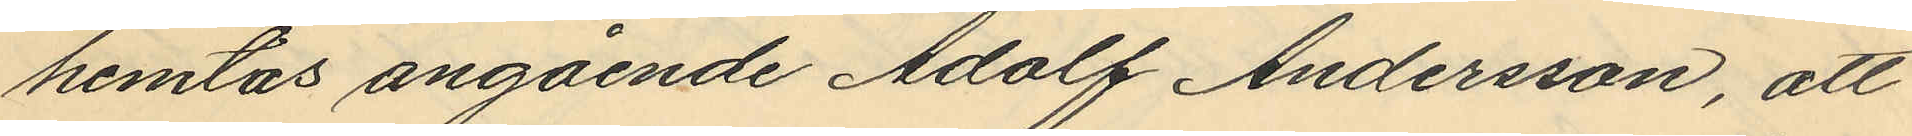hemtas angående Adolf Andersson, att
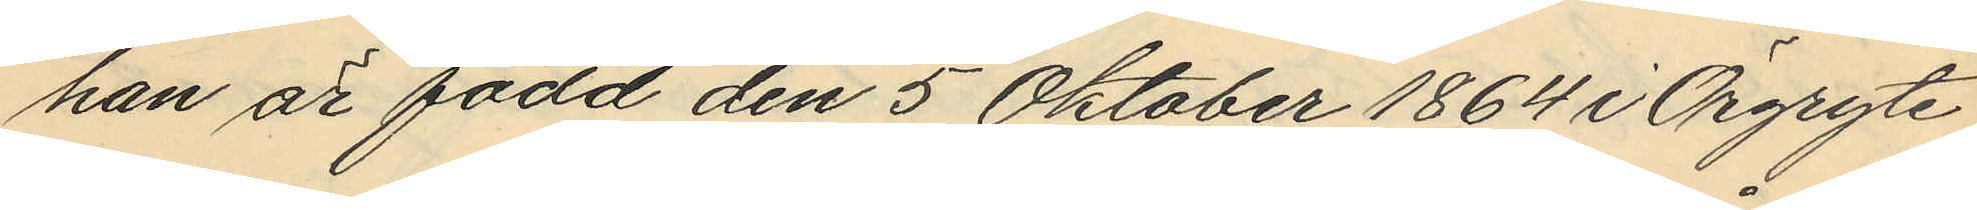han är född den 5 Oktober 1864 i Örgryte
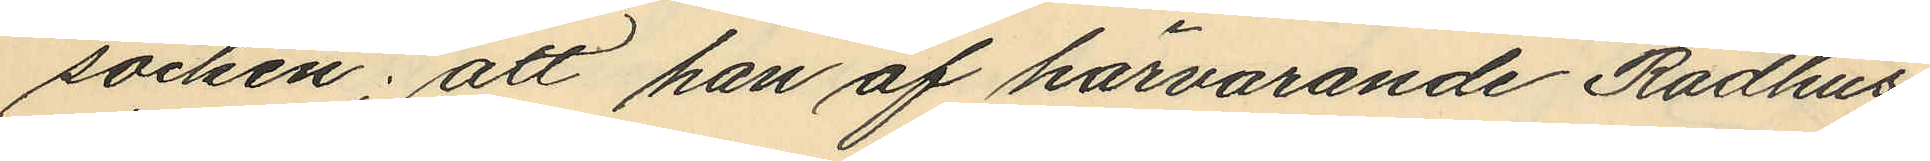socken; att han af härvarande Rådhus¬
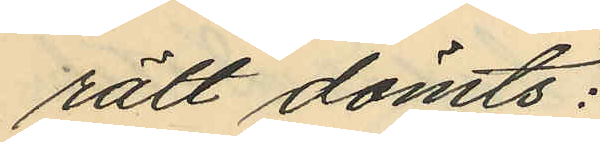rätt dömts:
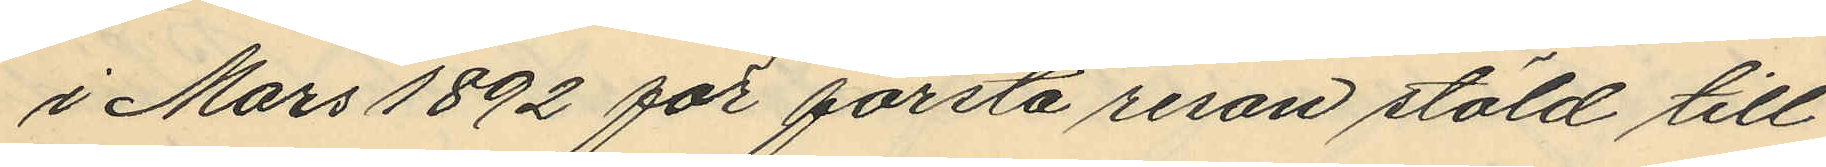i Mars 1892 för första resan stöld till
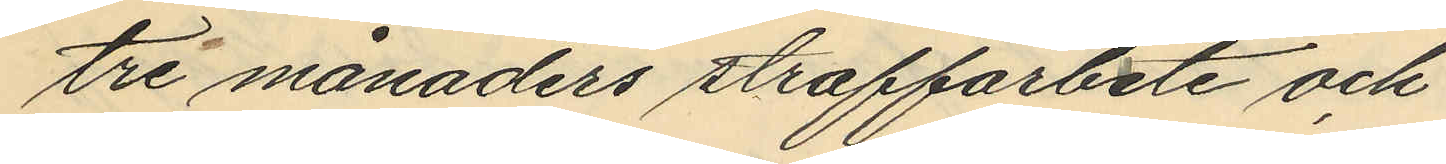tre månaders straffarbete och
